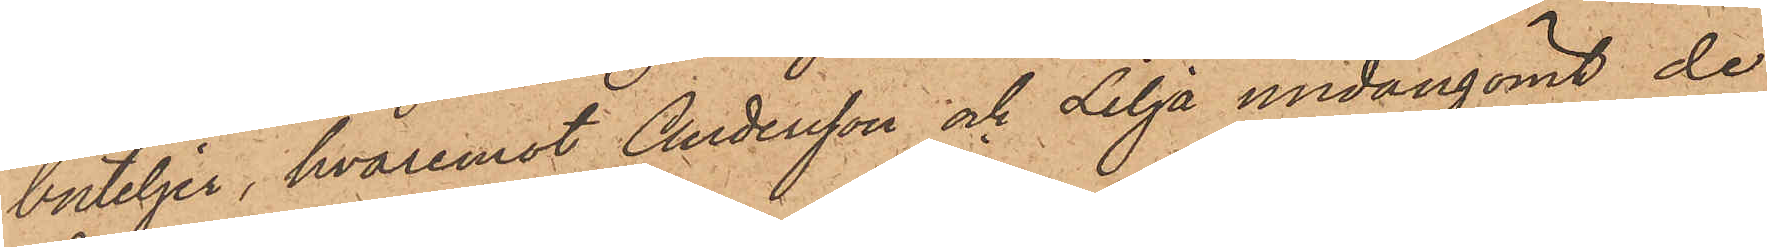buteljer, hvaremot Andersson och Lilja undangömt de
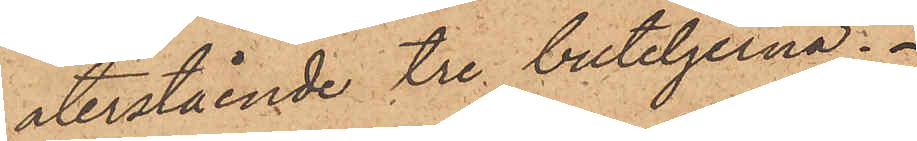återstående tre buteljerna.
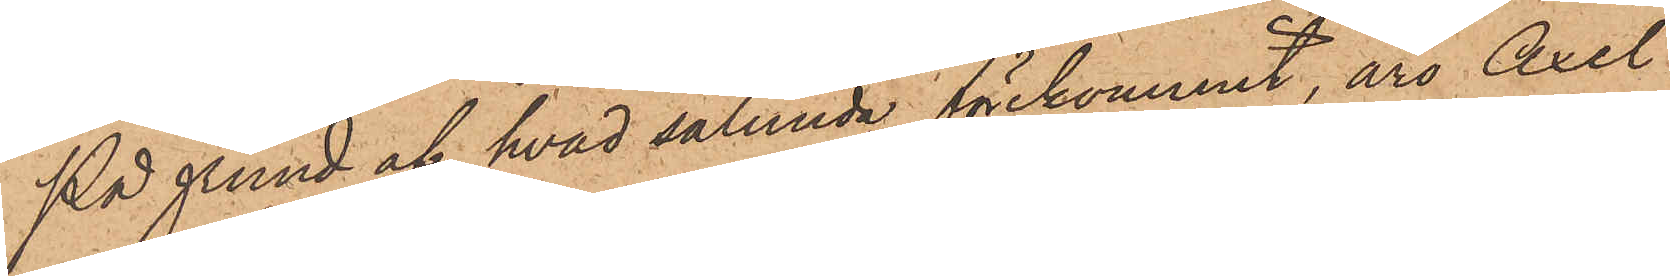På grund af hvad sålunda förekommit, äro Axel
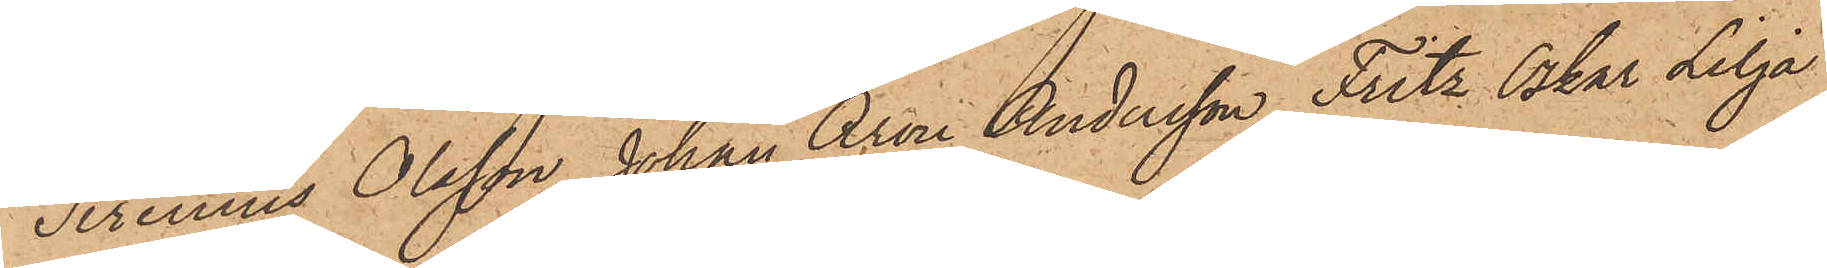Sirenius Olsson, Johan Aron Andersson, Fritz Oskar Lilja
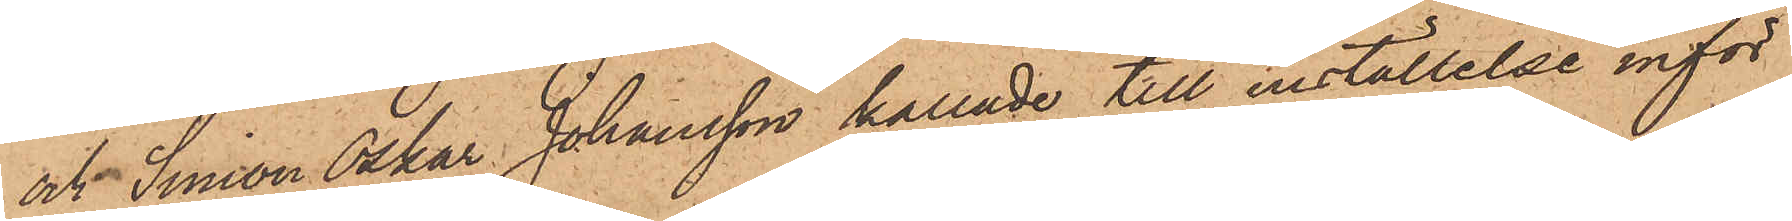och Simon Oskar Johansson kallade till inställelse inför
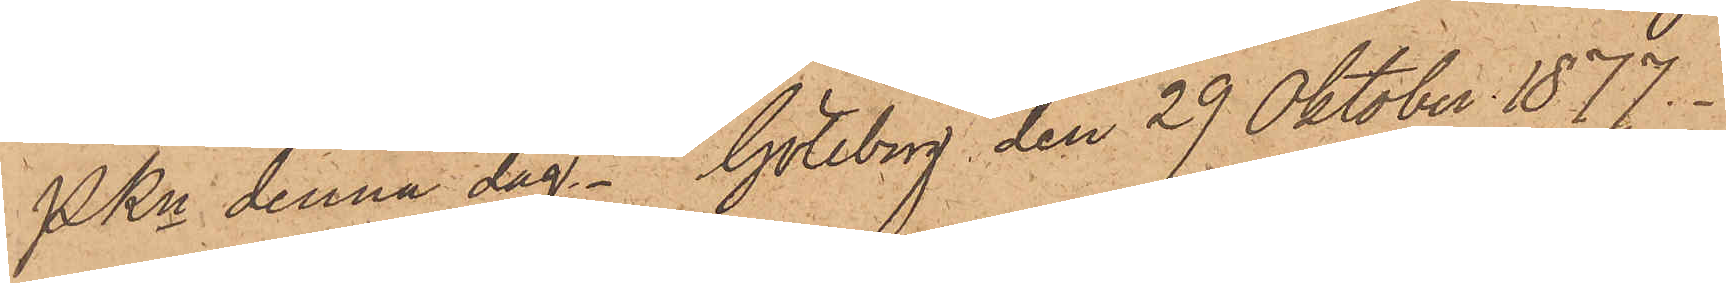PKn denna dag. Göteborg den 29 Oktober 1877.
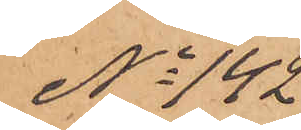No 142
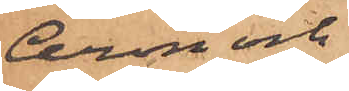Aron och
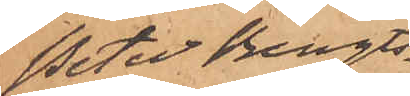Peter Bengts¬
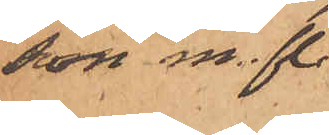son m. fl.
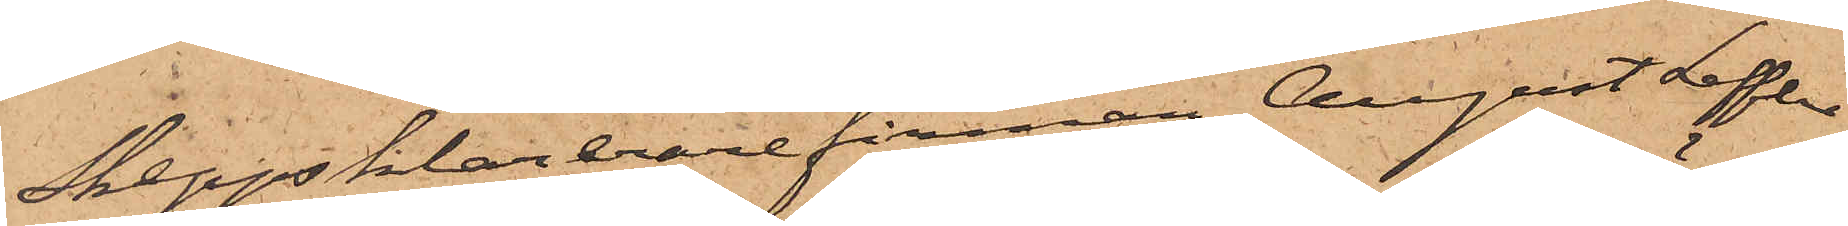Skeppsklarerarefirman August Leffler
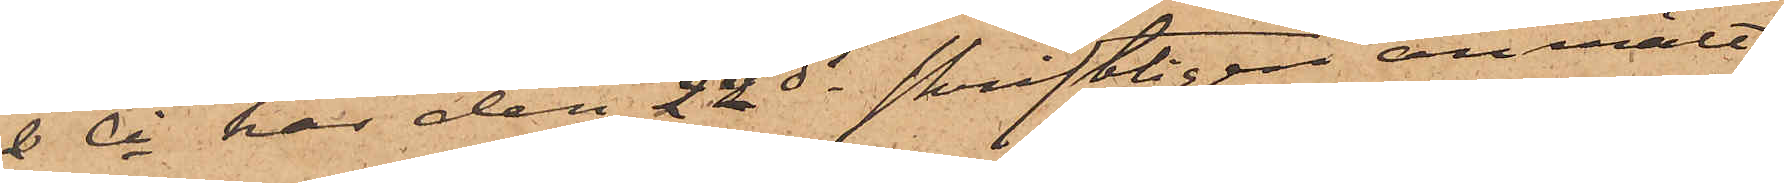& Ci, har den 22 ds skriftligen anmält
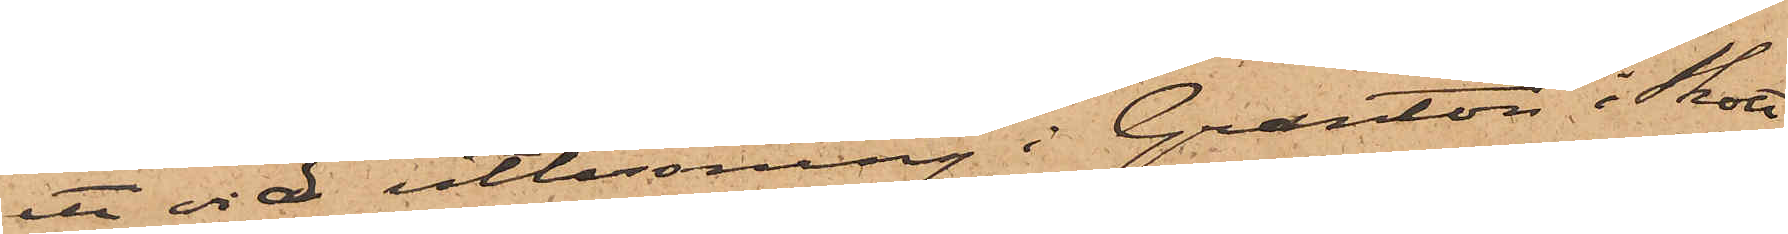att vid utlossning i Granton i Skott¬
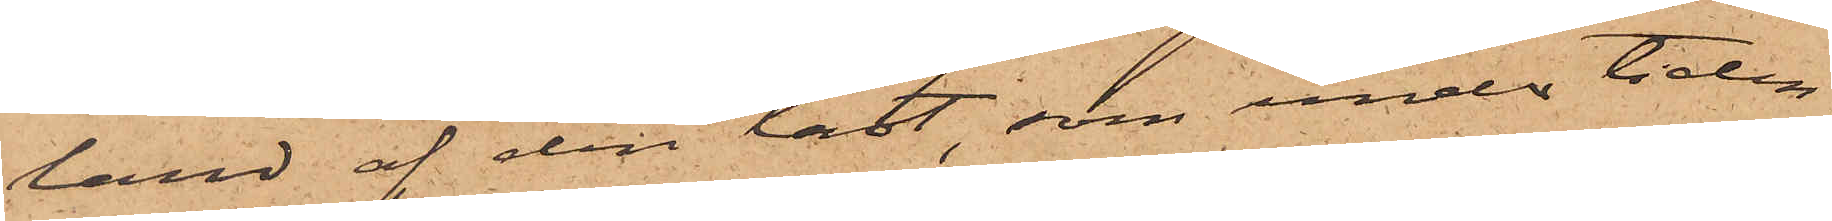land af den last, som under tiden
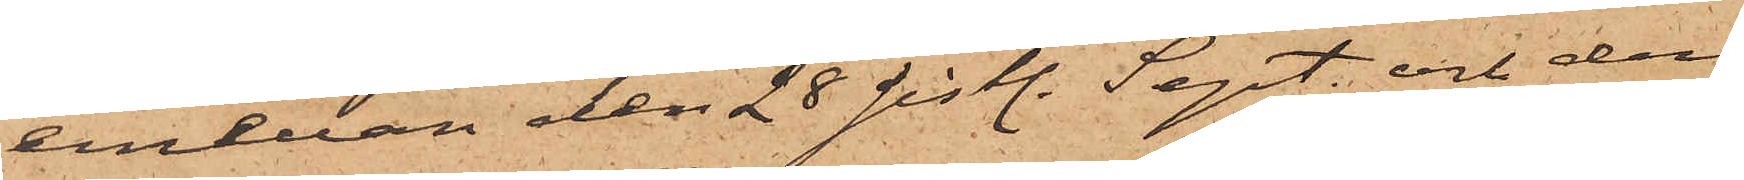emellan den 28 sistl. Sept. och den
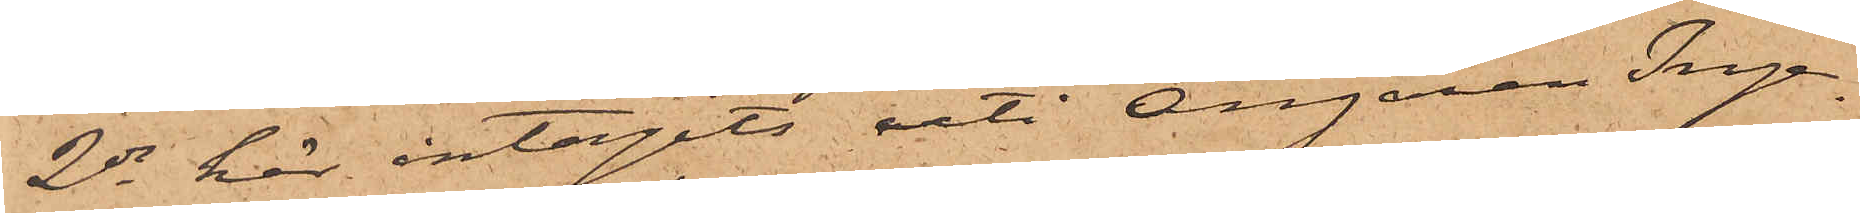2 ds här intagits uti Ångaren Inge¬
